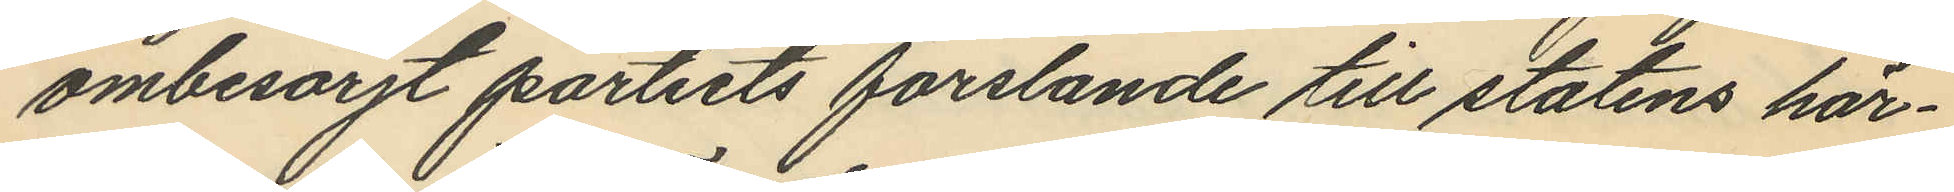ombesörjt partiets forslande till statens här¬
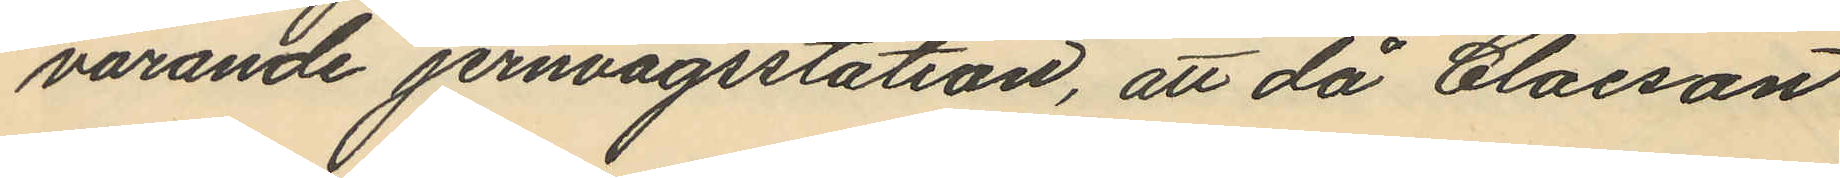varande jernvägsstation, att då Claeson
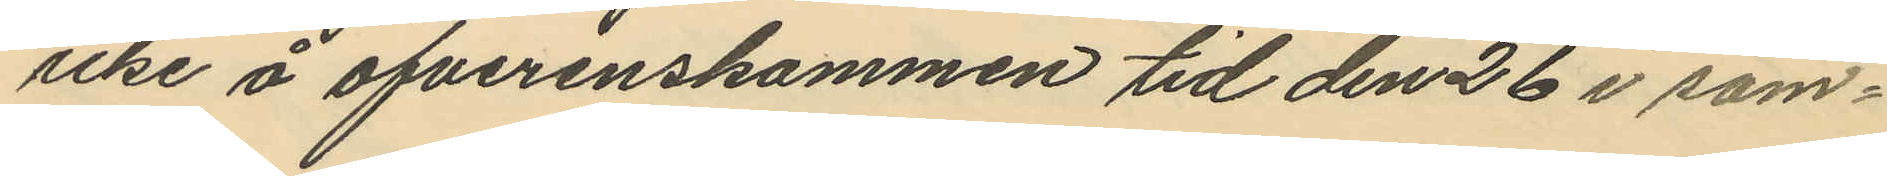icke å öfverenskommen tid den 26 i sam¬
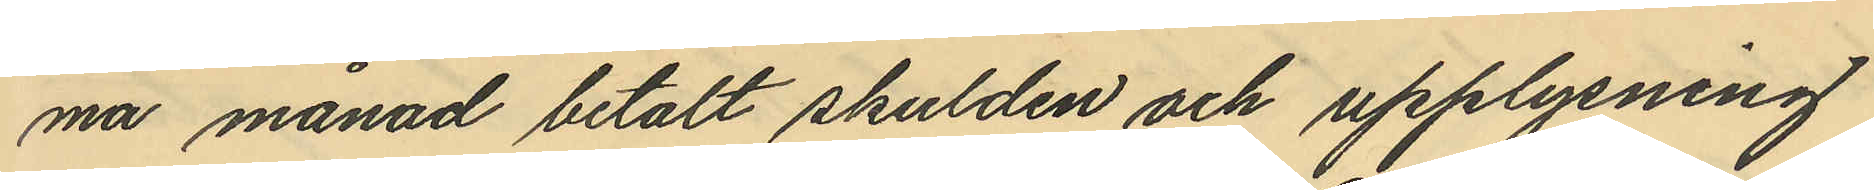ma månad betalt skulden och upplysning
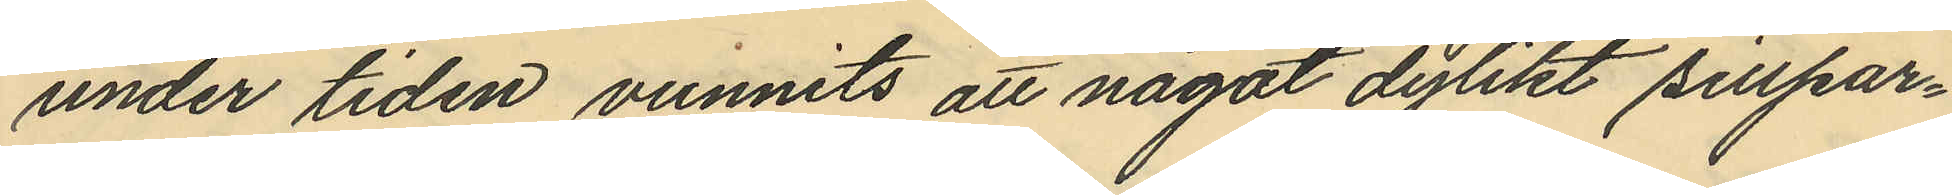under tiden vunnits att något dylikt sillpar¬
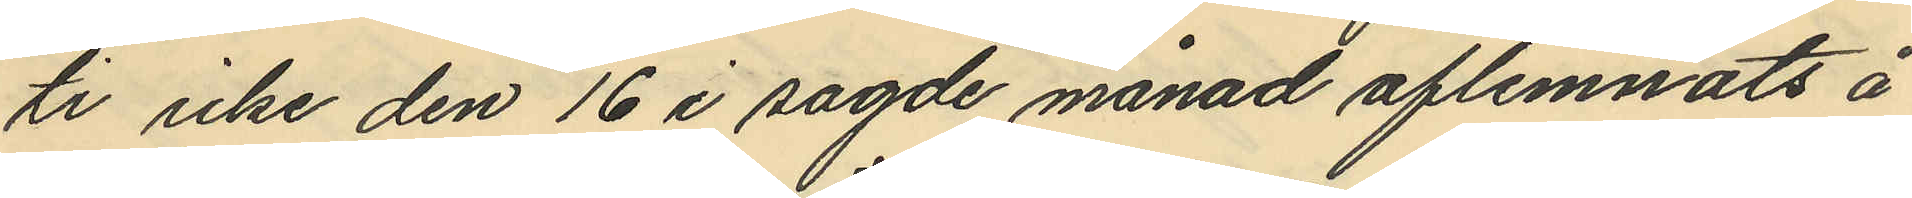ti icke den 16 i sagde månad aflemnats å
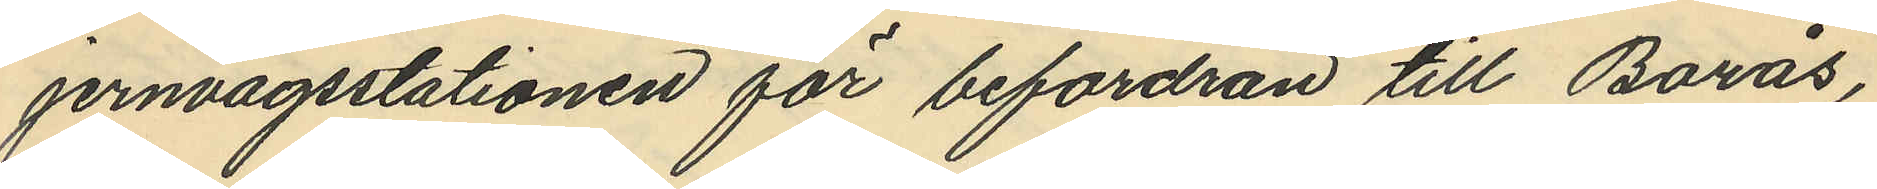jernvägsstationen för befordran till Borås,
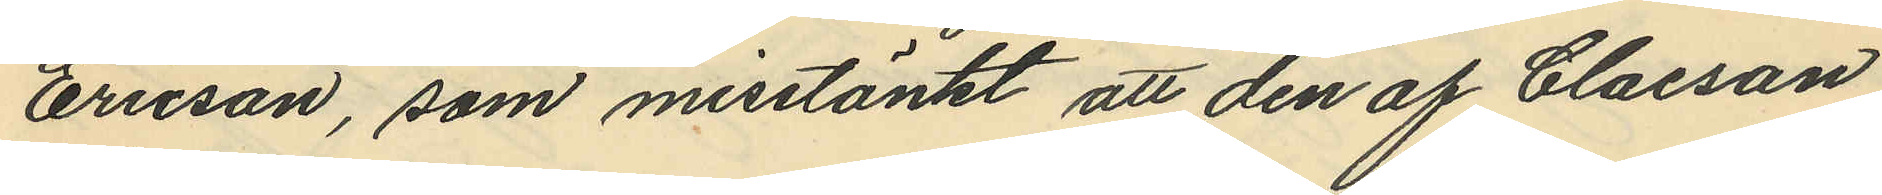Ericson, som misstänkt att den af Claeson
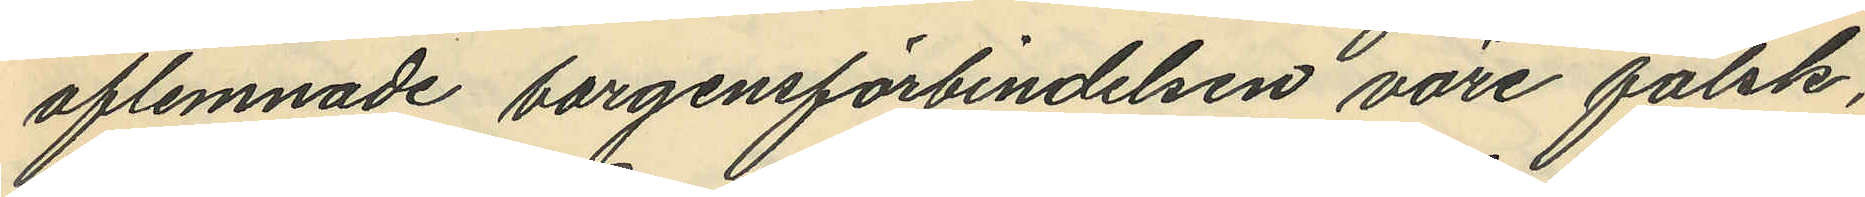aflemnade borgensförbindelsen vore falsk,
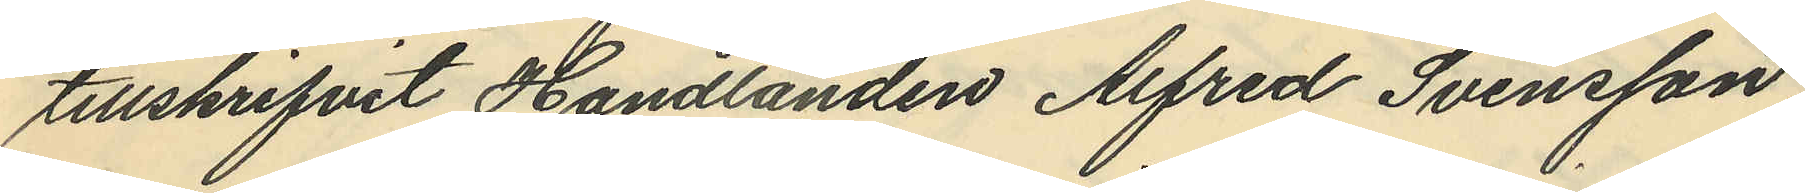tillskrifvit Handlanden Alfred Svensson
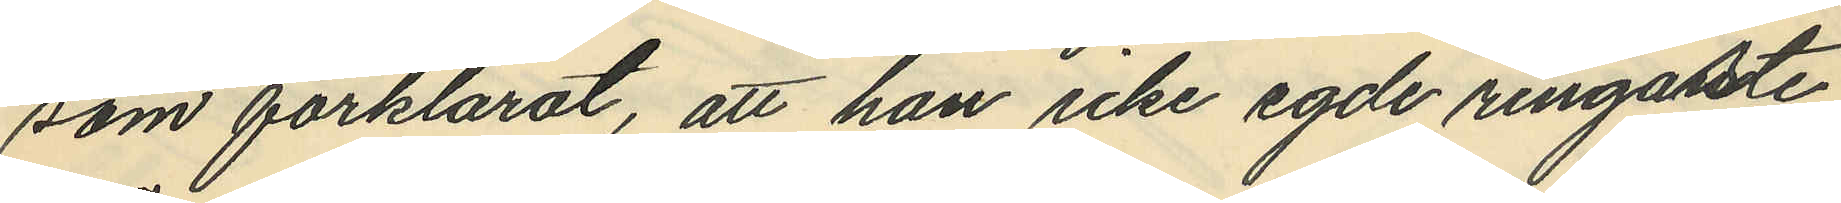som förklarat, att han icke egde ringaste
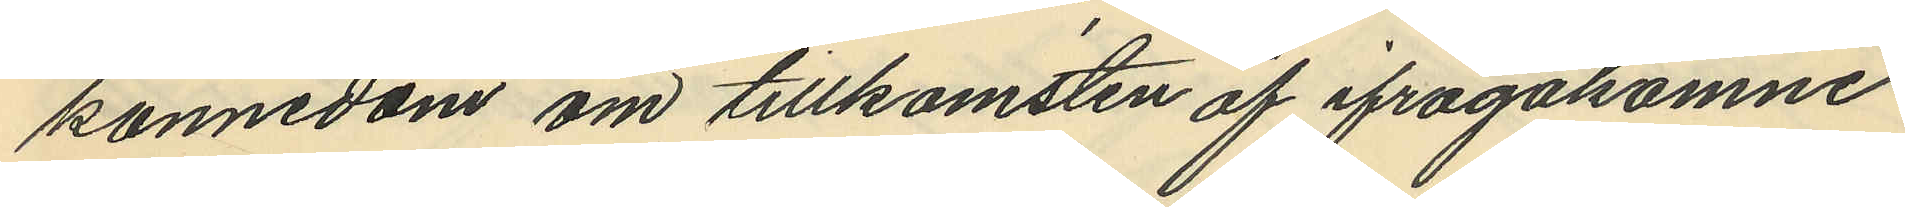kännedom om tillkomsten af ifrågakomne
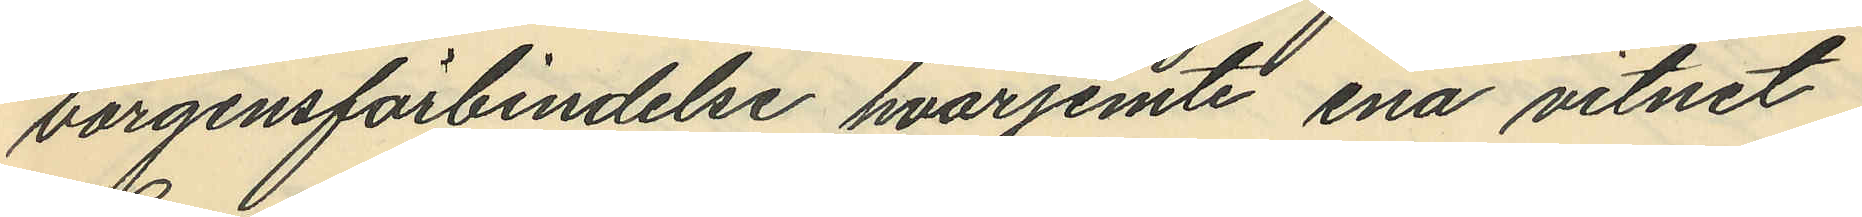borgensförbindelse hvarjemte ena vitnet
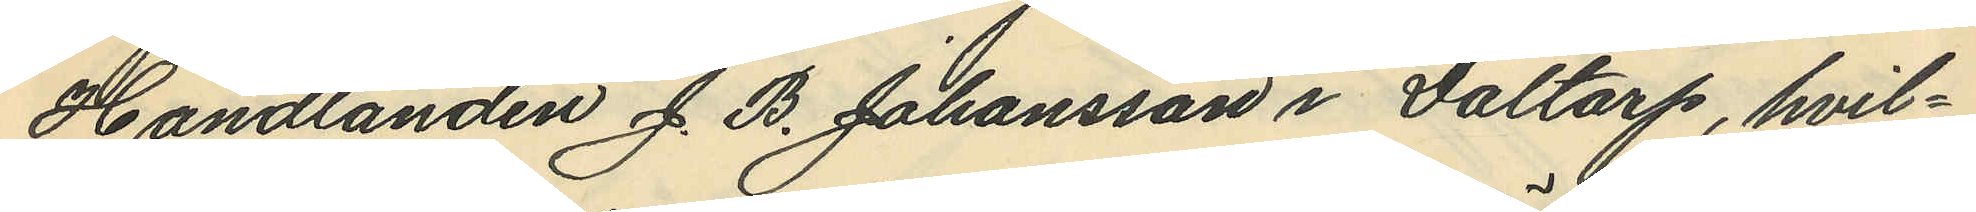Handlanden J. B. Johansson i Daltorp, hvil¬
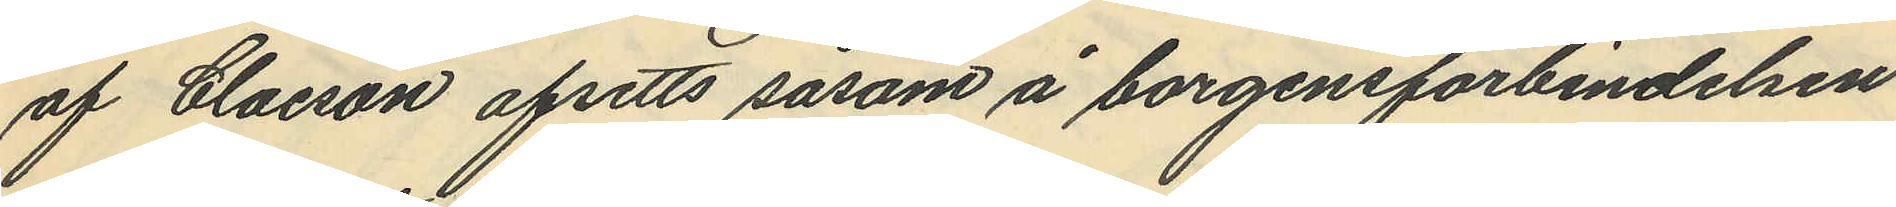af Claeson afsetts såsom å borgensförbindelsen
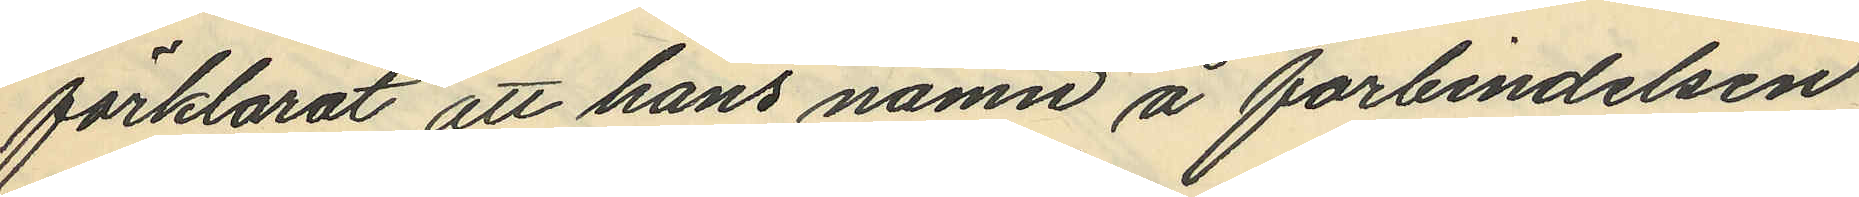förklarat att hans namn å forbindelsen
